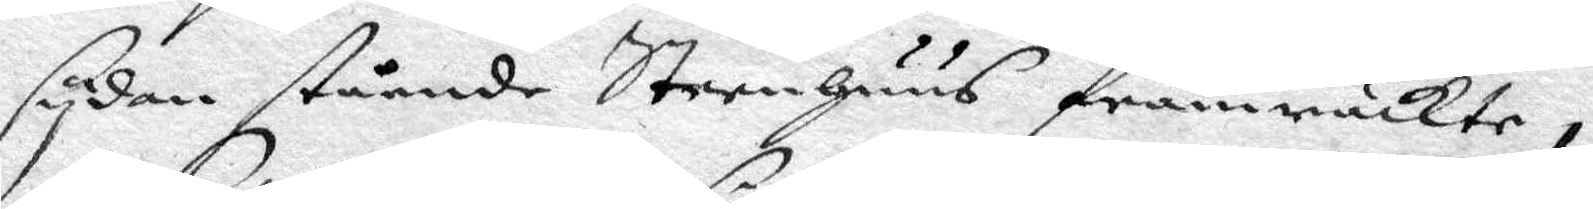sydan stående Steenhuus framräckte,
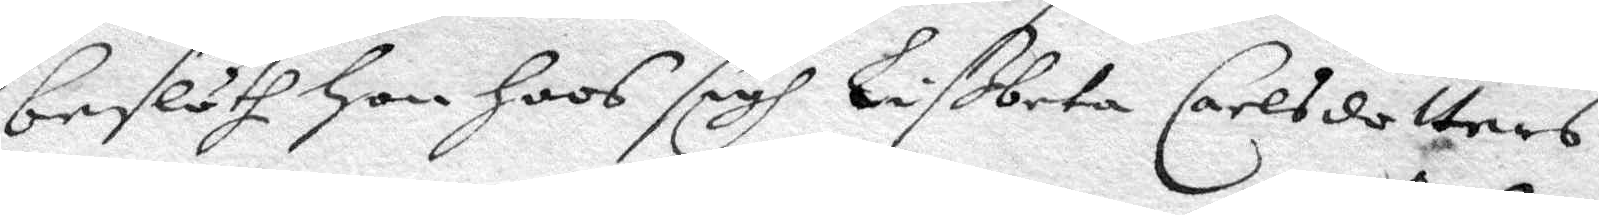beslöth hon hoos sigh Lißbeta Carlsdotters
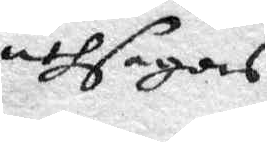uthsagors
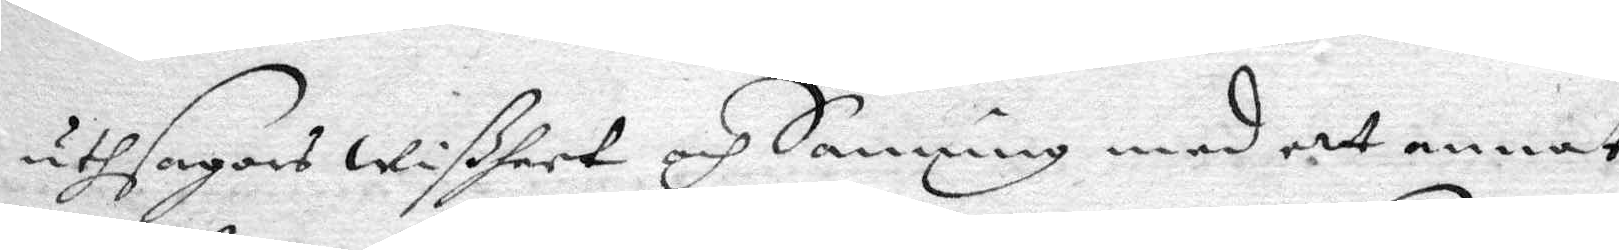uthsagors wißheet och Sanning med ett annat
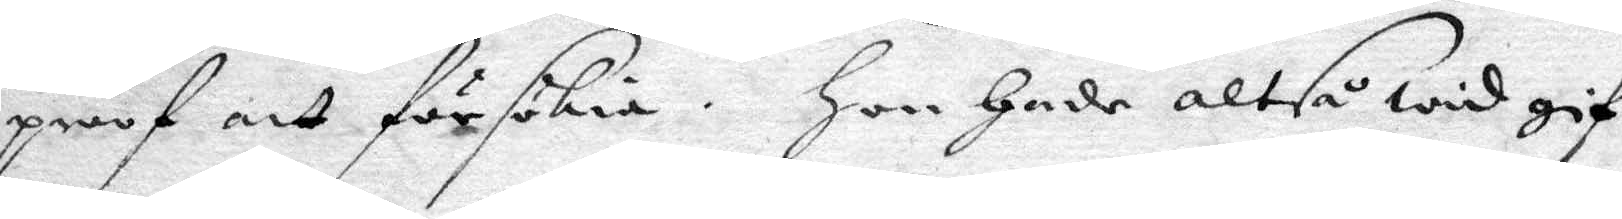proof att försökia, hon hade altså wid gif¬
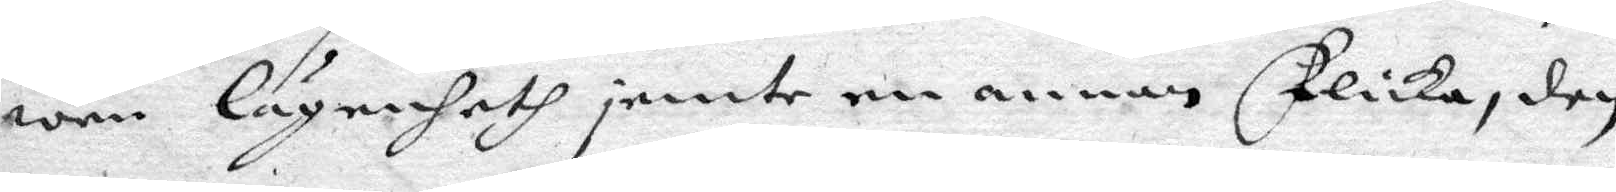wen lgenheth jemte en annan Flicka, den
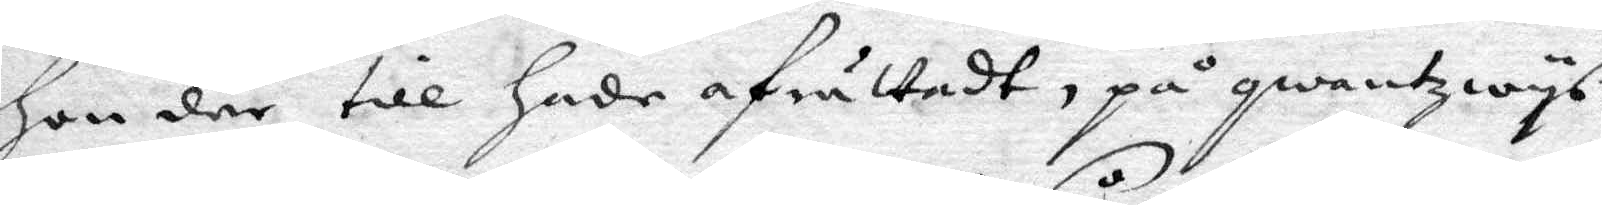hon där till hade afrättadt, på qwantzwys
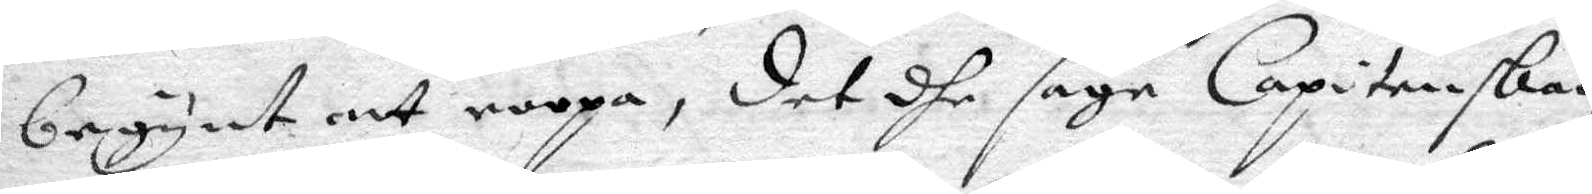begynt att roopa, det dhe såge Capienskan
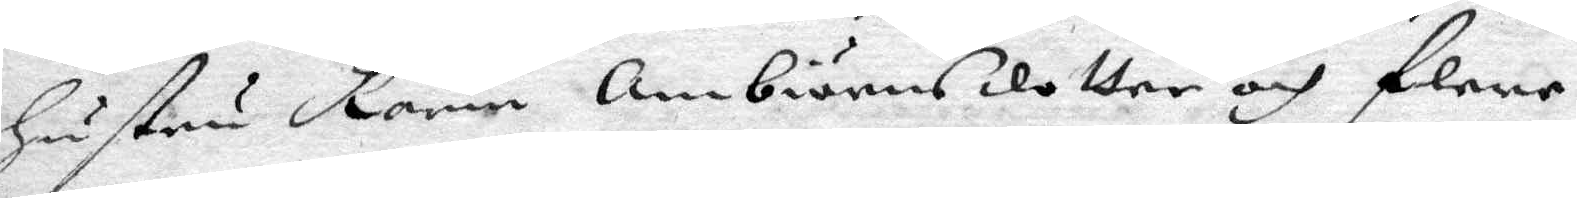hustru Karin Ambiörnsdotter och flere
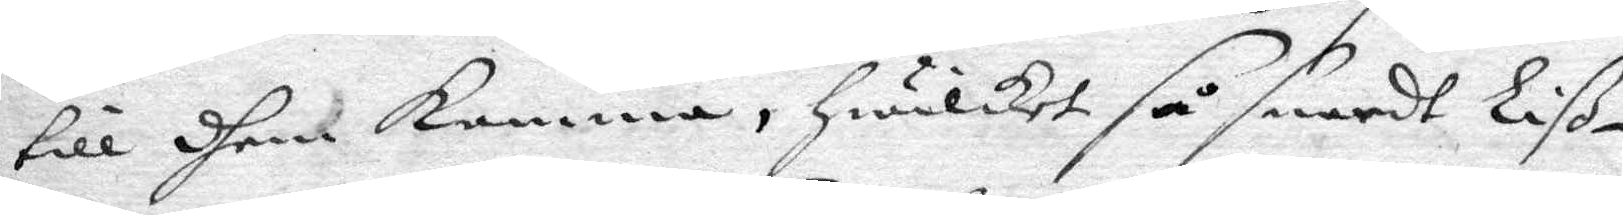till dhem komma, wilket så snardt Liß¬
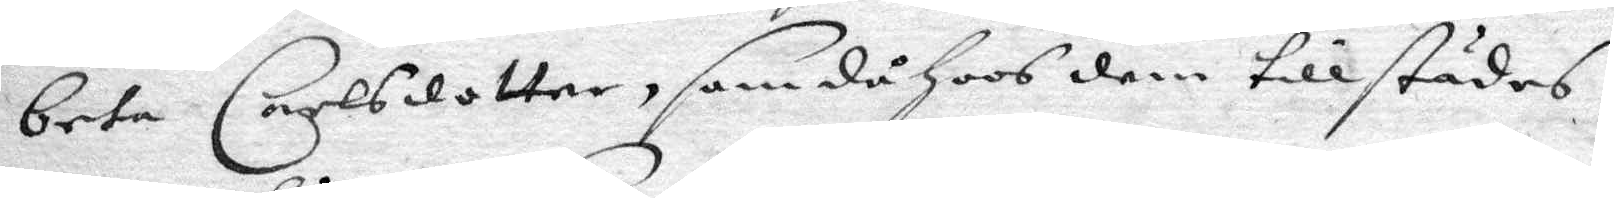beta Carlsdotter, som då hoos dem tillstädes
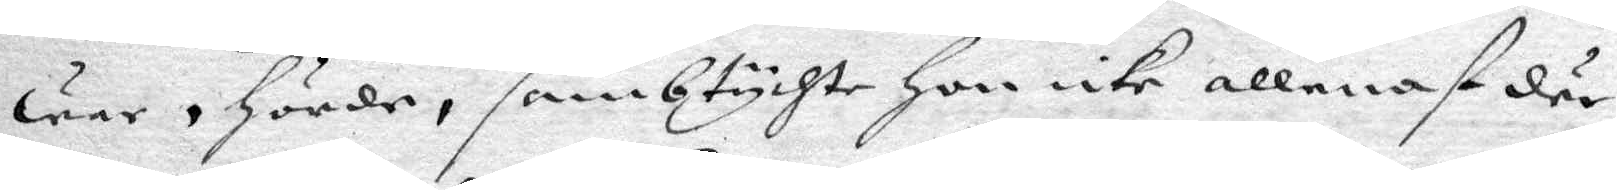war, hörder, sambtychte hon icke allenast där
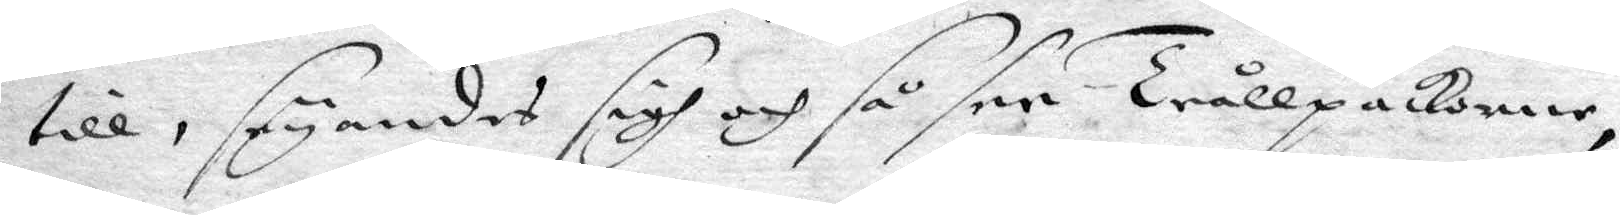till, seyandes sigh och så see Trållpackorne,
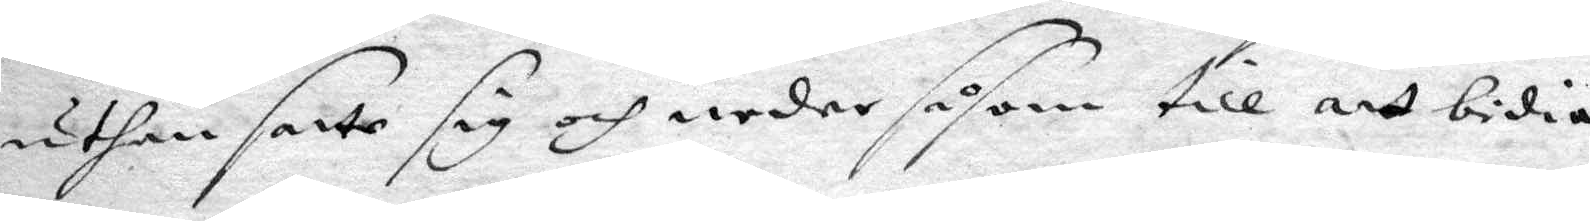uthan satte sig och neder såsom till att bidia
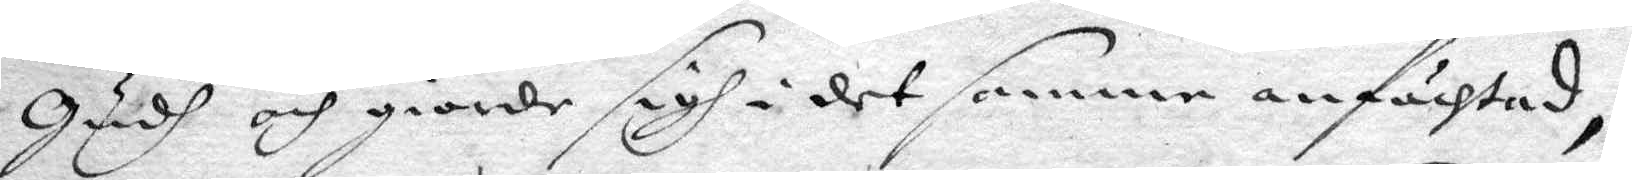Gudh och giorde sigh det samme anfächtad,
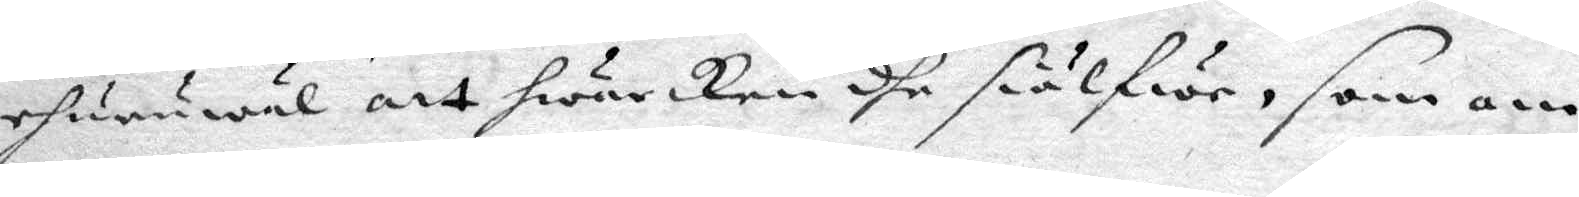ehuruwäl att hwarken dhe siälfwe, som om
